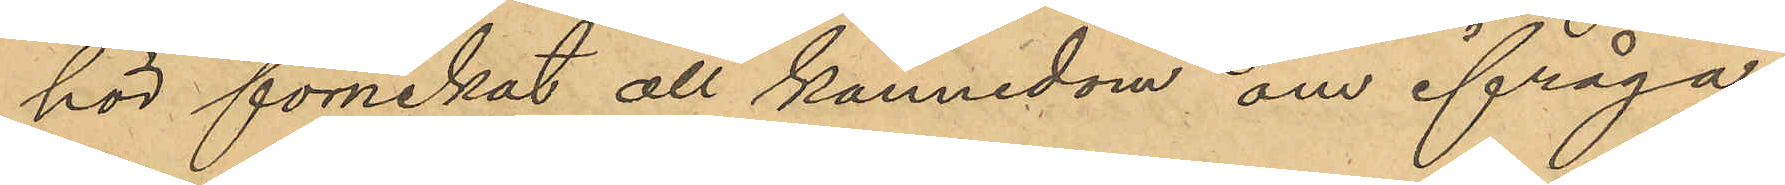hör förnekat all kännedom om ifråga¬
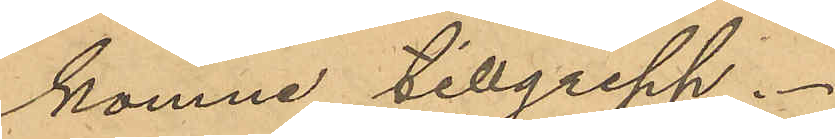komne tillgrepp.
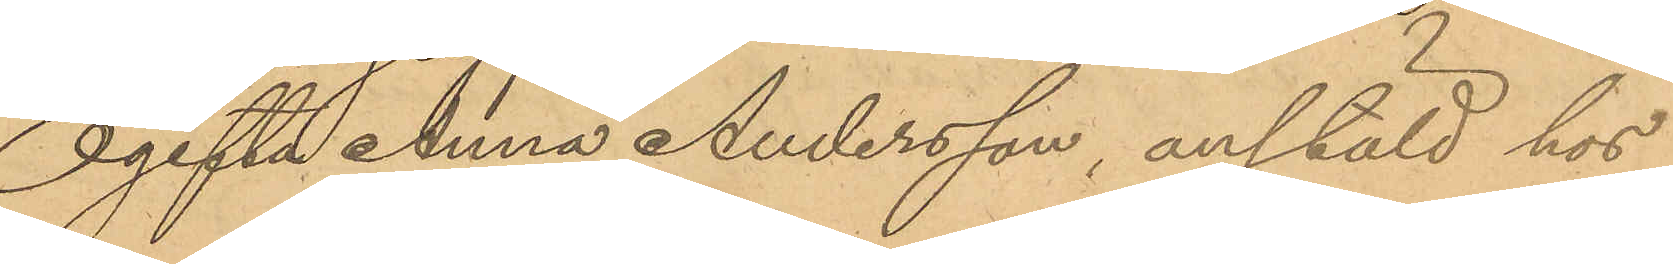Ogifta Anna Andersson, anstäld hos
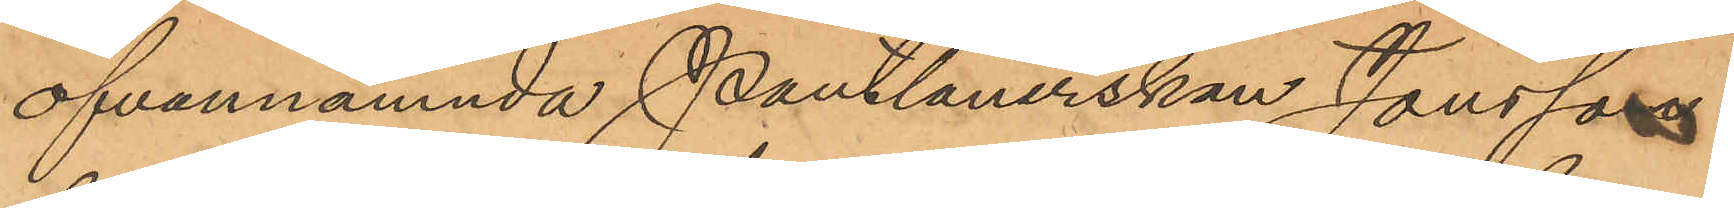ofvannämnda Pantlånerskan Jonsson
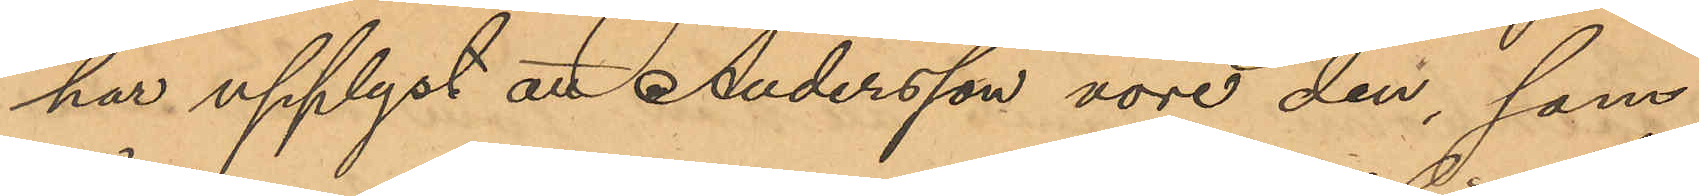har upplyst att Andersson vore den, som
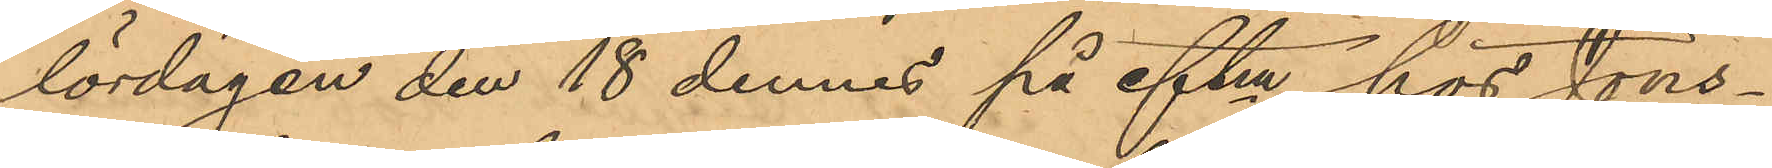lördagen den 18 dennes på eftm hos Jöns¬
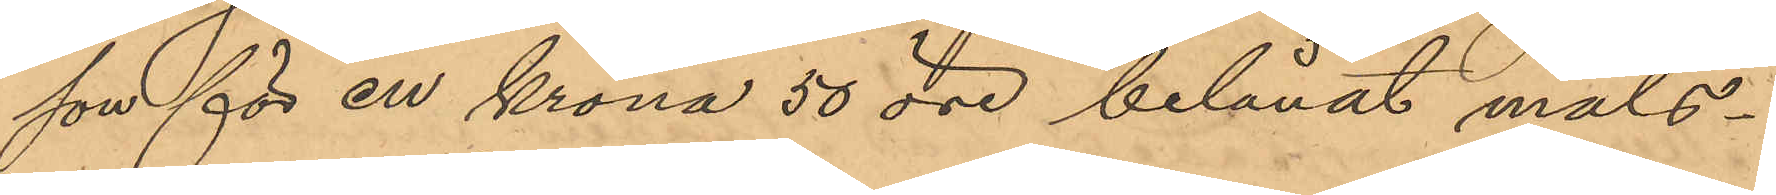son för en krona 50 öre belånat måls¬
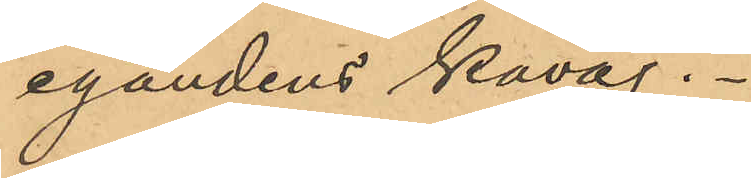egandens kavaj.
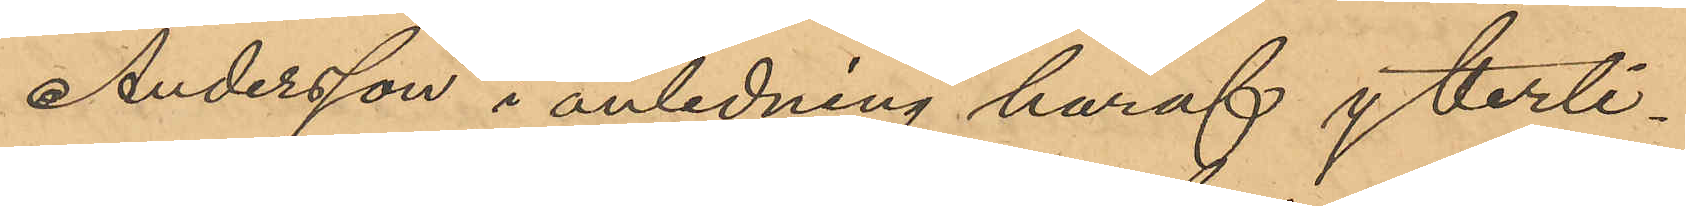Andersson i anledning häraf ytterli¬
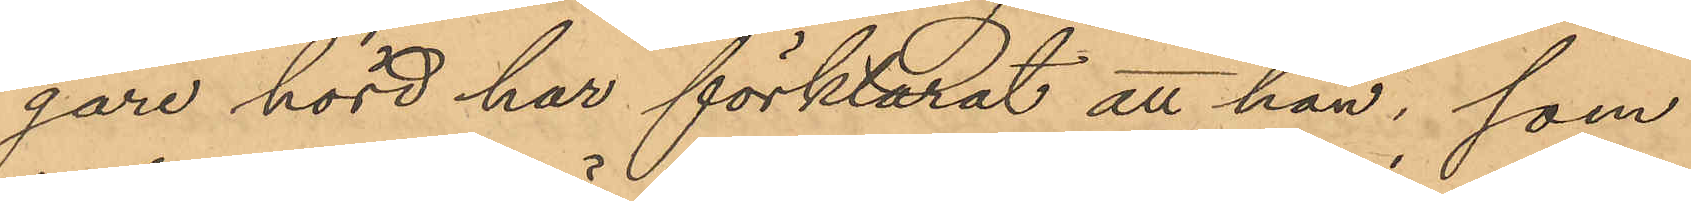gare hörd har förklarat att han, som
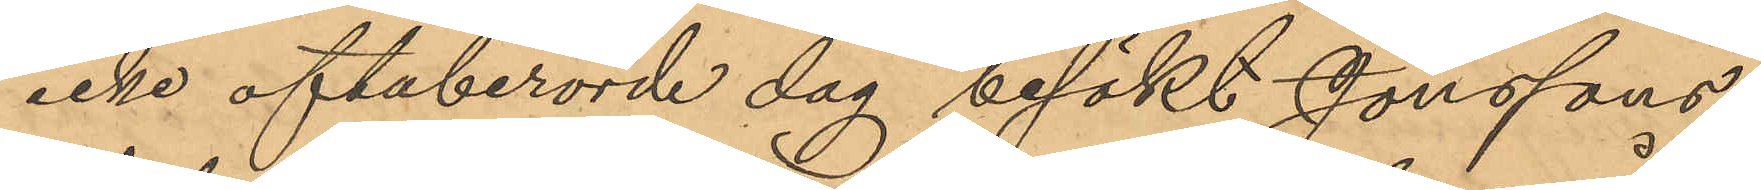icke oftaberörde dag besökt Jonssons
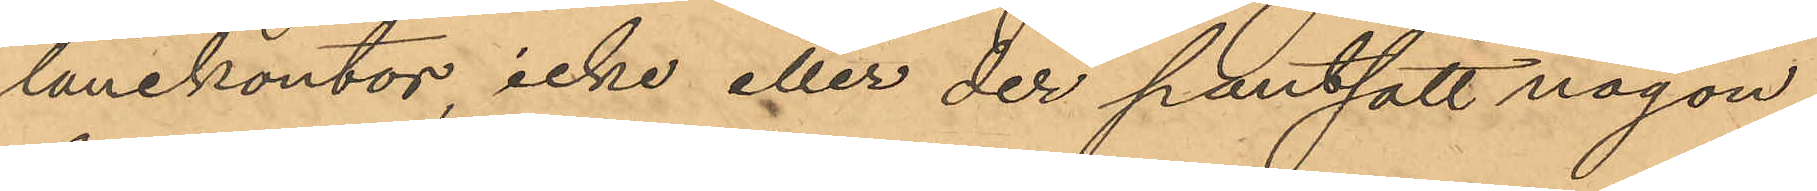lånekontor, icke eller der pantsatt någon
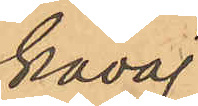kavaj.
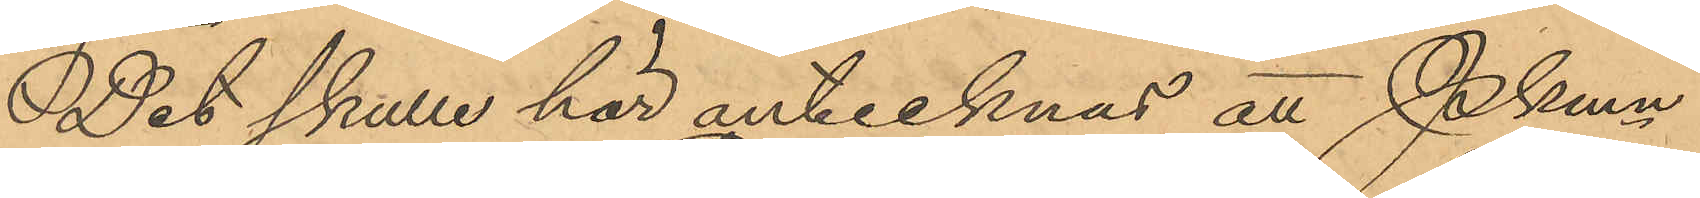Det skulle här antecknas att Pkmn
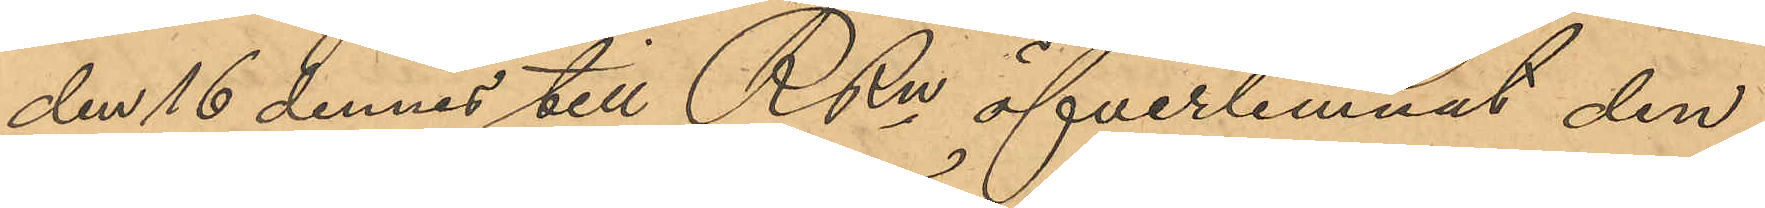den 16 dennes till RRn öfverlemnat den
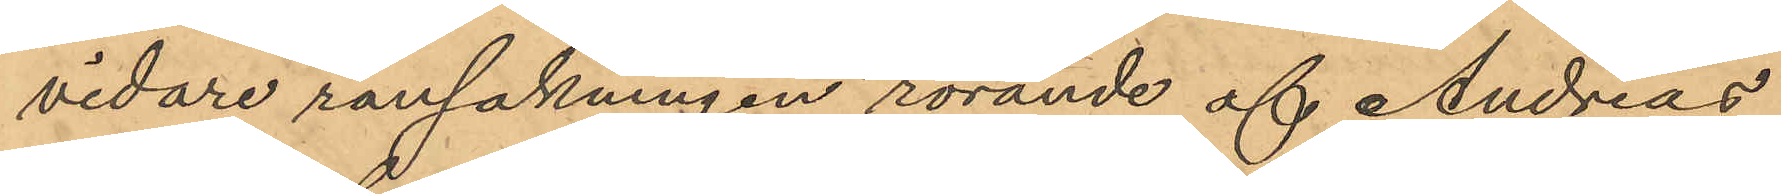vidare ransakningen rörande af Andreas
